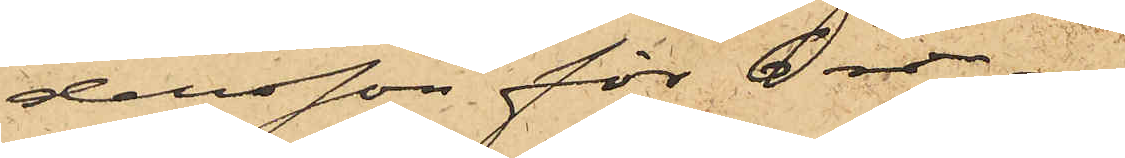dersson för 6 rdr.
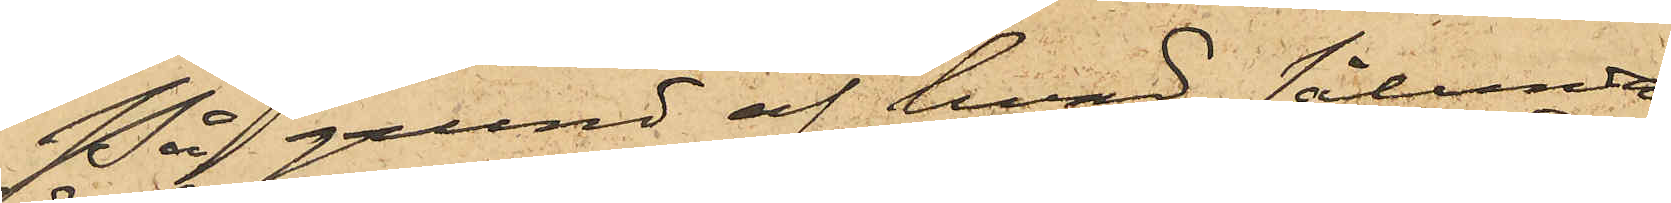På grund af hvad sålunda
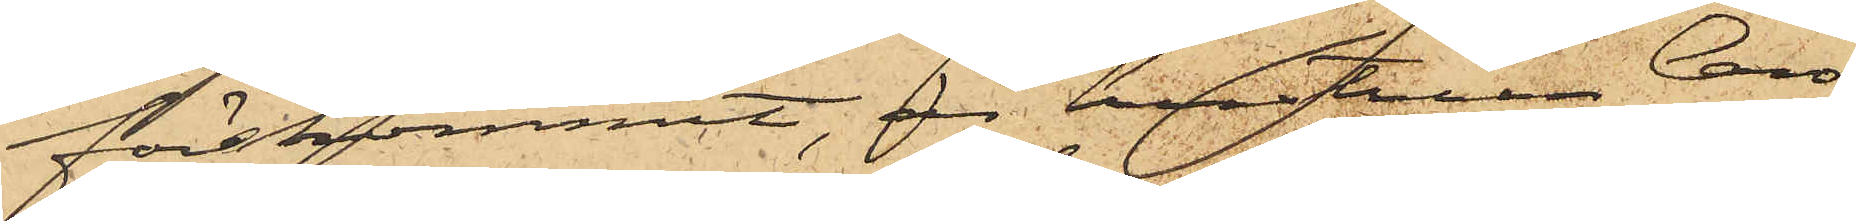förekommit, är hustrun Caro¬
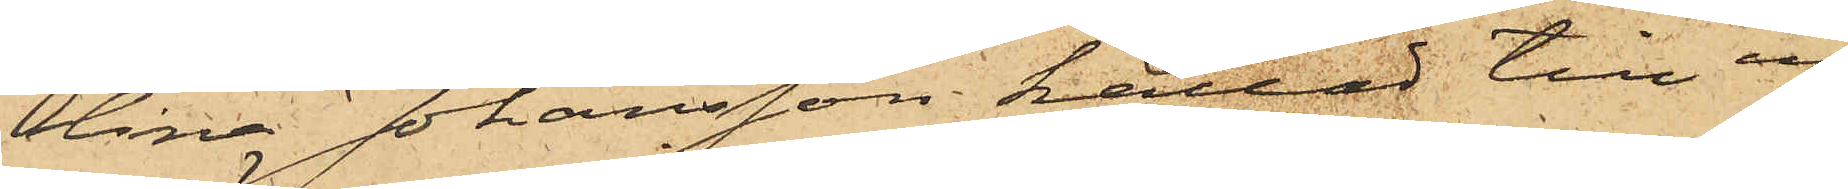lina Johansson kallad till in¬
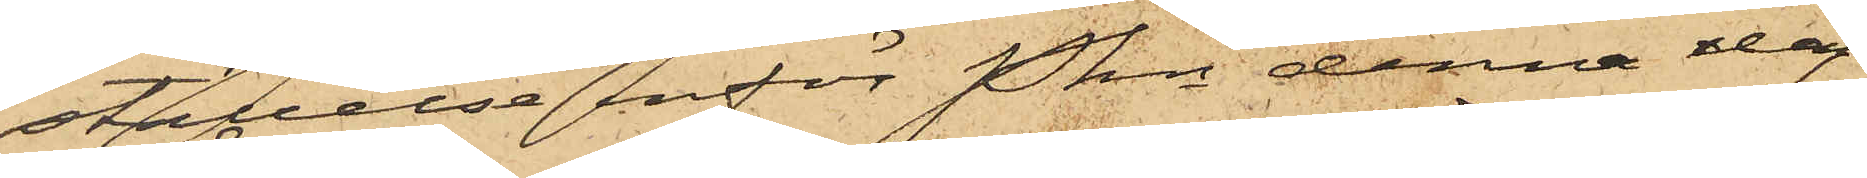ställelse inför Pkn denna dag
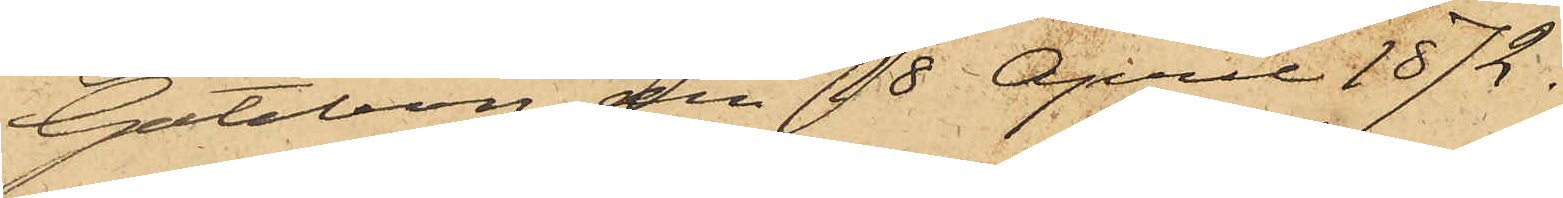Göteborg den 18 April 1872.
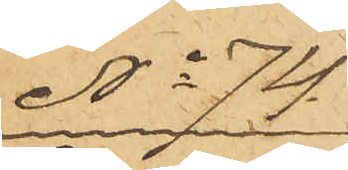No 74.
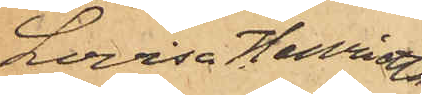Lovisa Henrietta
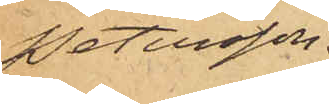Petersson.
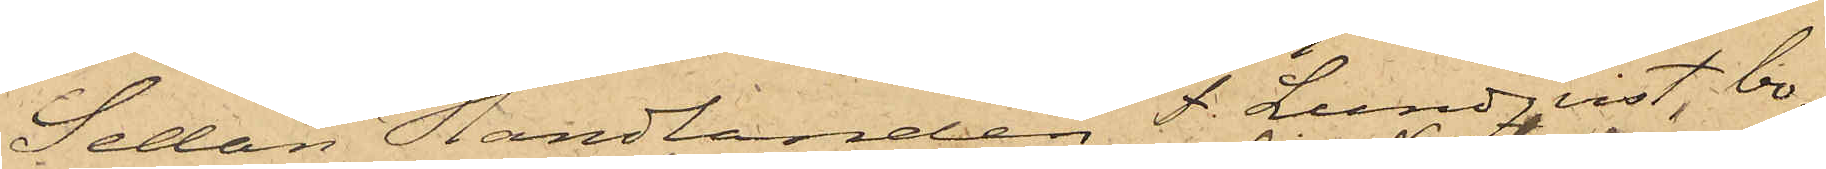Sedan Handlanden F. Lundqvist, bo¬
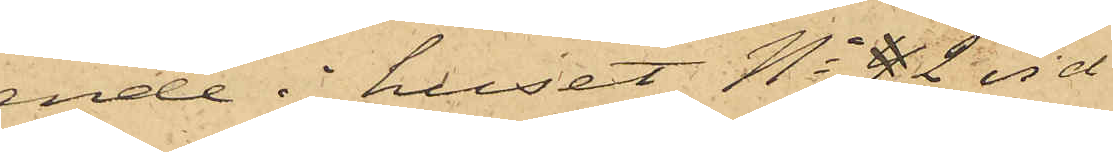ende i huset No 42 vid
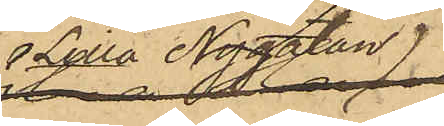Lilla Nygatan
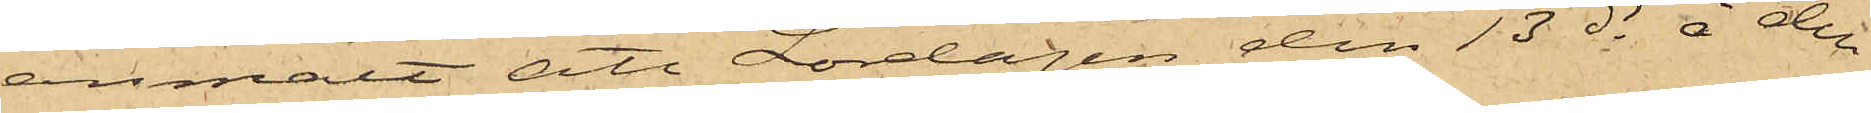anmält att Lördagen den 13 ds å den
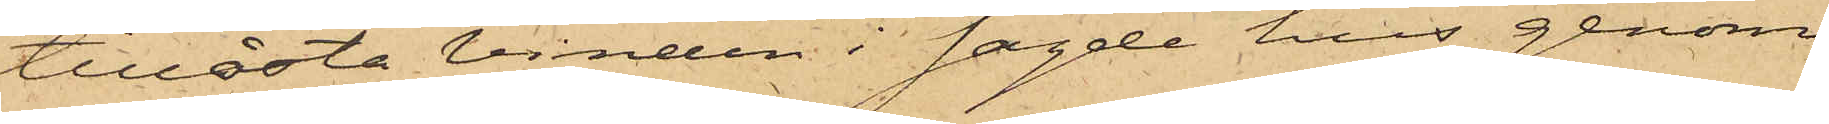tillåsta vinden i sagde hus genom
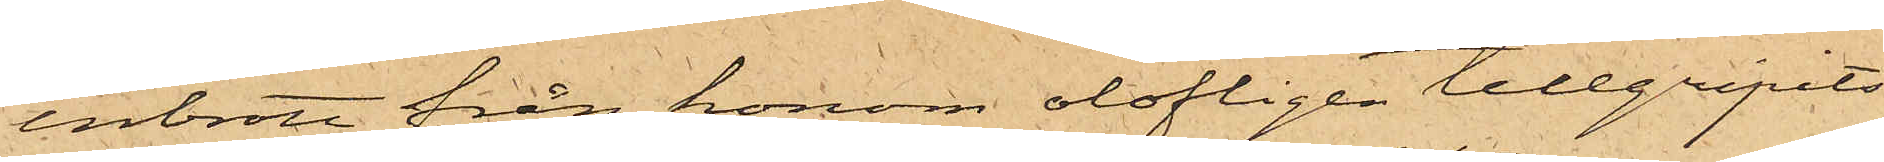inbrott från honom olofligen tillgripits
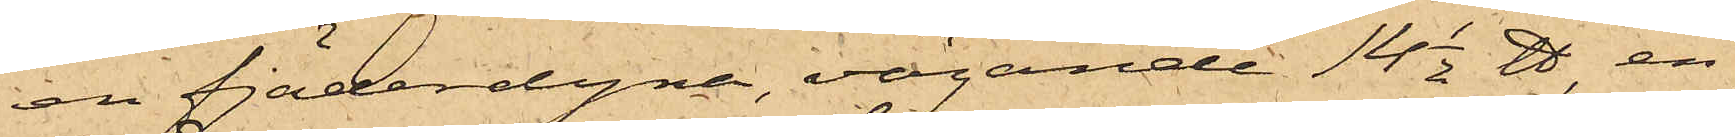en fjäderdyna, vägande 14 1/2 ℔, en
